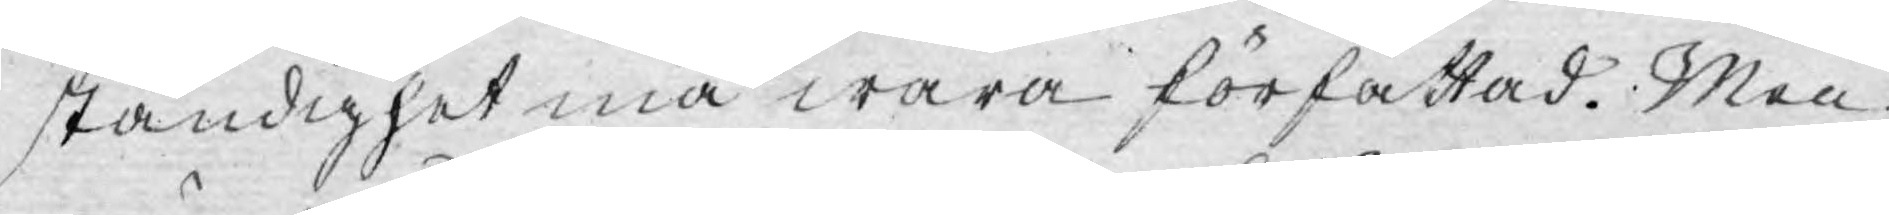ständighet må wara författad. Men
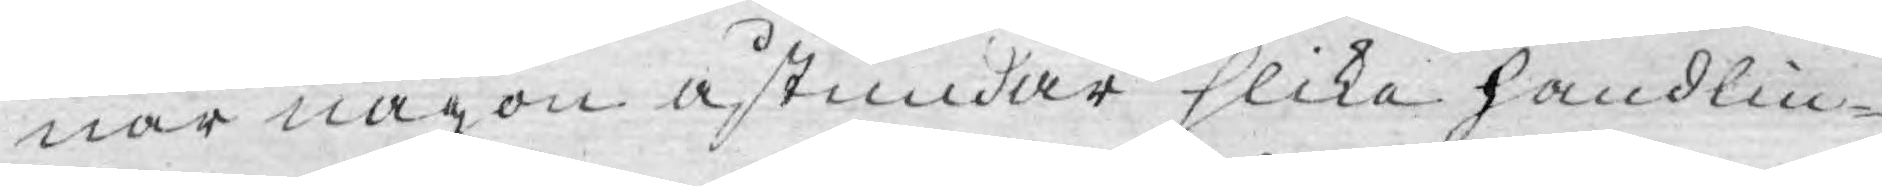när någon åstundar slika handlin¬
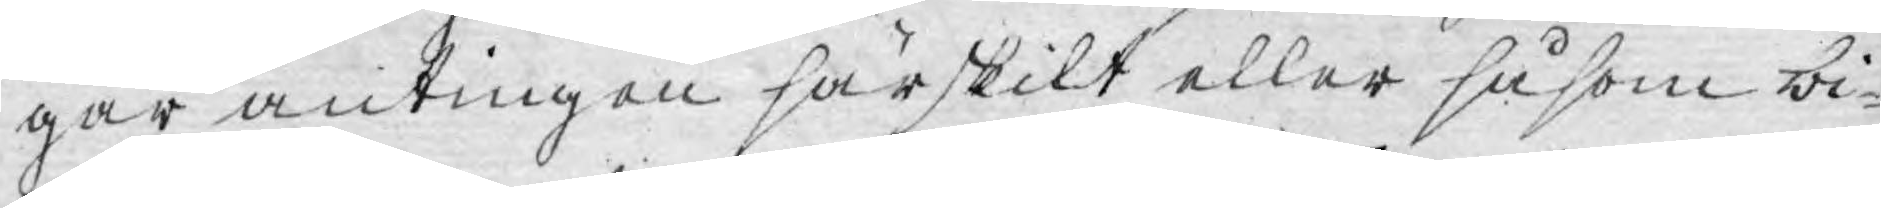gar antingen särskilt eller såsom bi¬
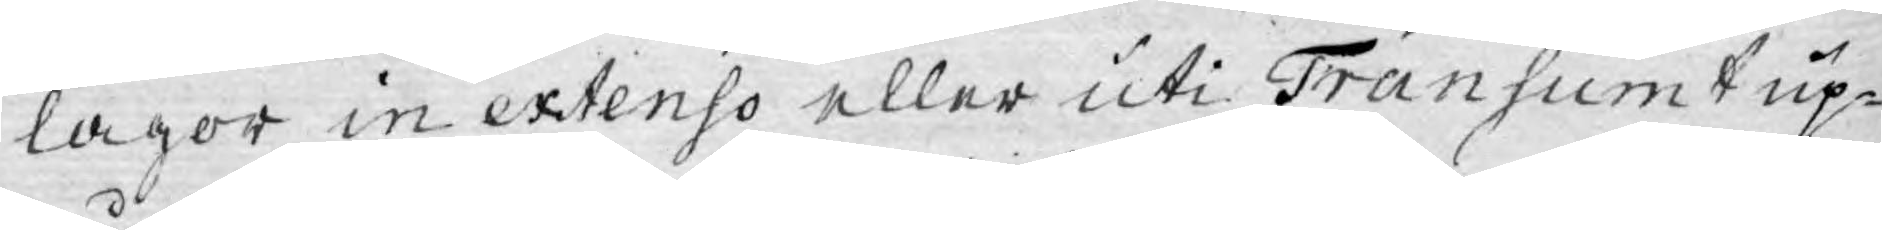lagor in extenso eller uti Transumt up¬
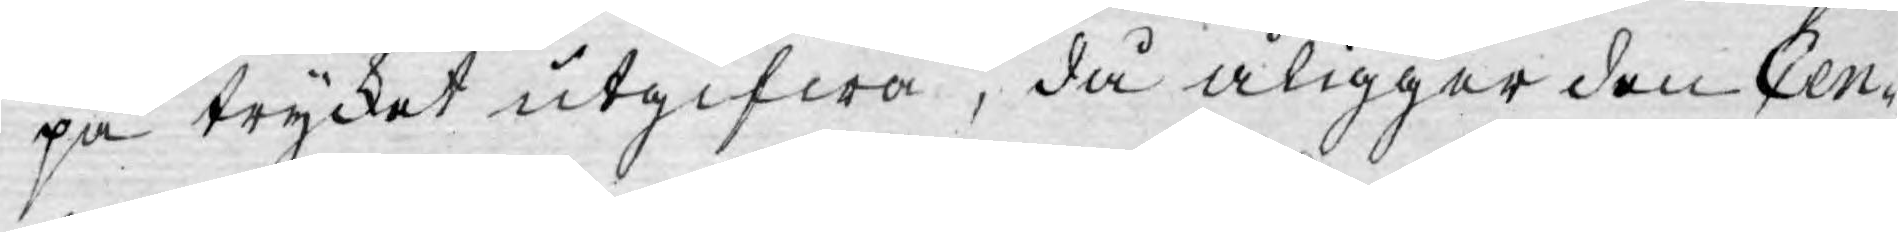på trycket utgifwa, då åligger den Cen¬
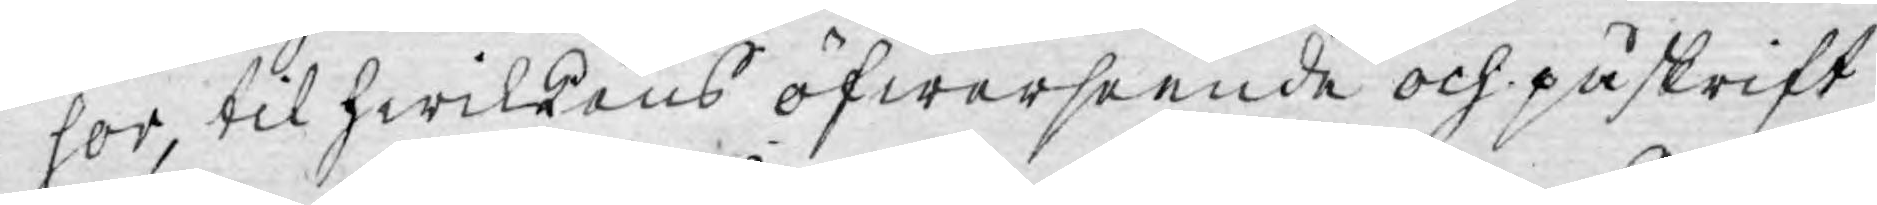sor, til hwilkens öfwerseende och påskrift
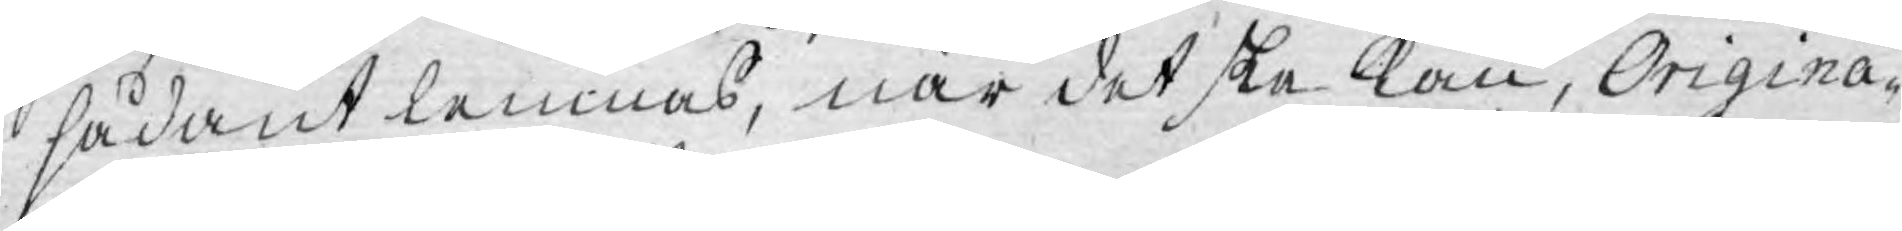sådant lemnas, när det ska kan, Origina¬
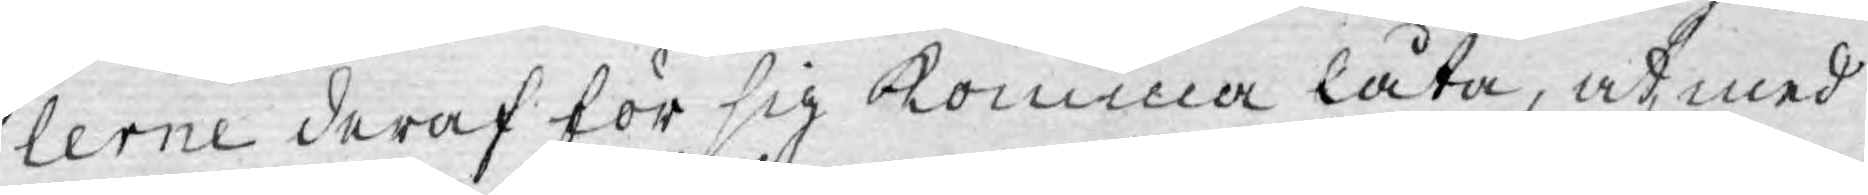lerne deraf för sig komma låta, at, med
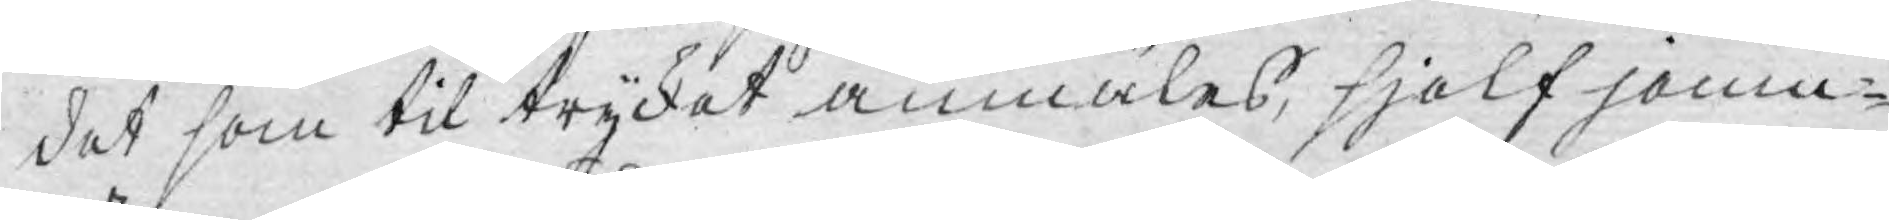det som til trycket anmäles, sjelf jemn¬
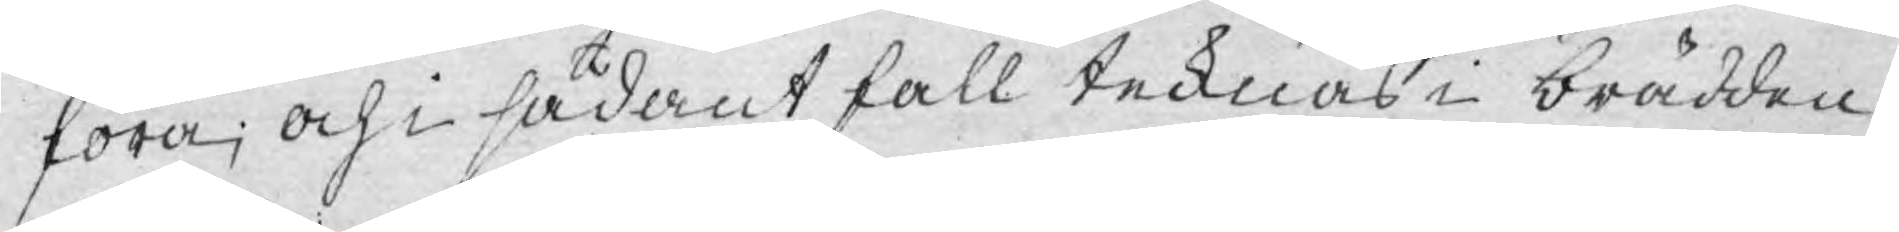föra; och i sådant fall tecknas i brädden
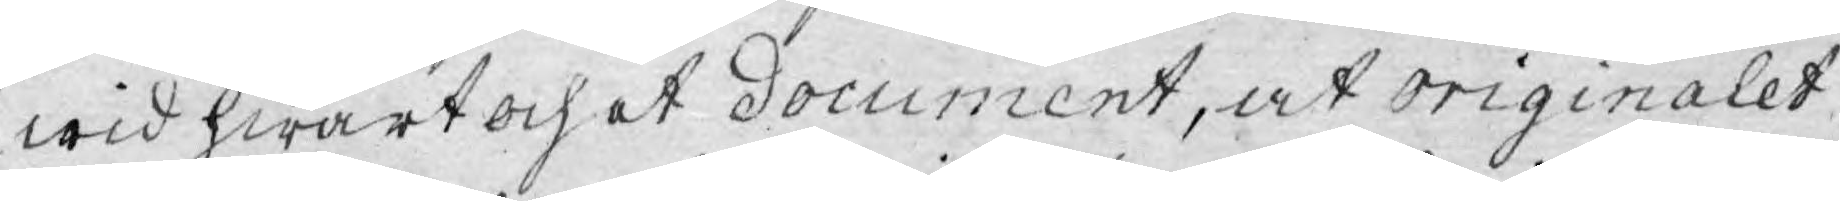wid hwart och et document, at originalet,
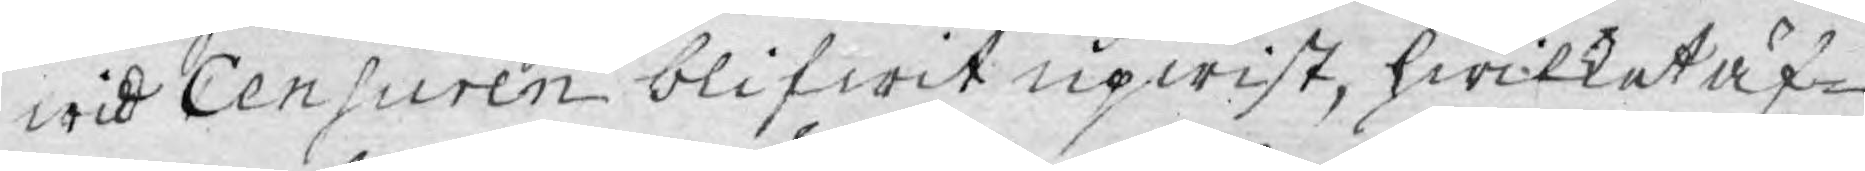wid Censuren blifwit upwist, hwilket äf¬
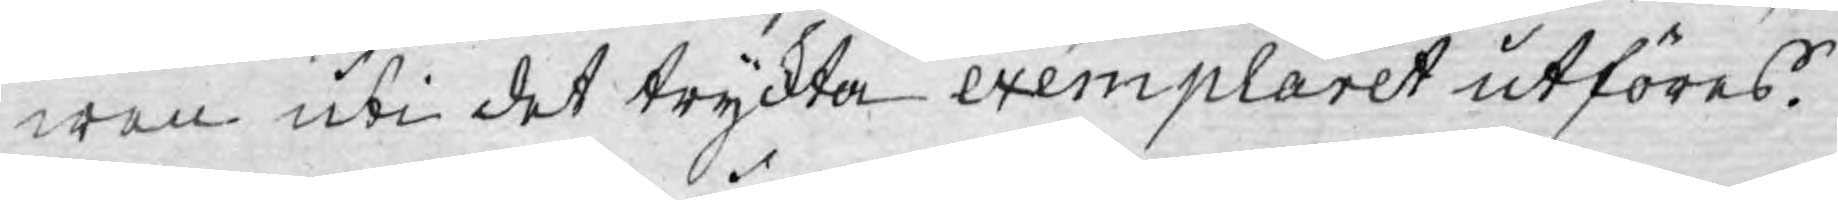wen uti det tryckta exemplaret utföres.
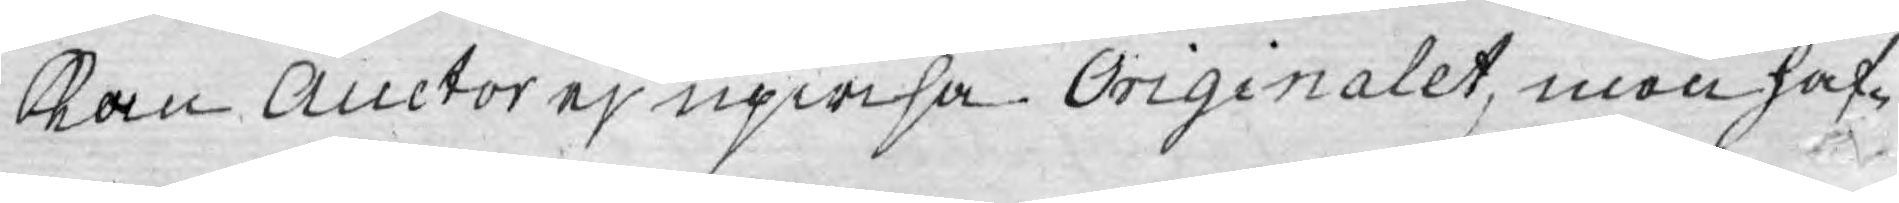Kan Auctor ej upwisa Originalet, men haf¬
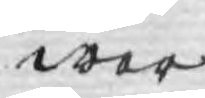wer
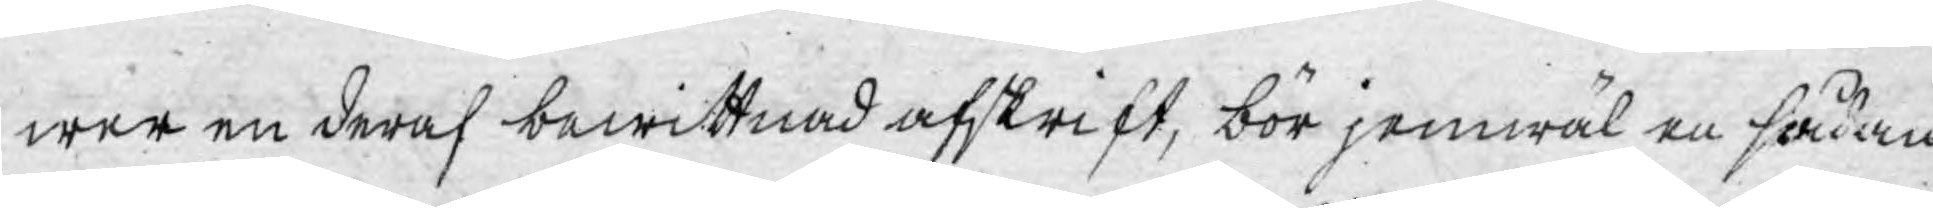wer en deraf bewittnad afskrift, bör jemwäl en sådan
